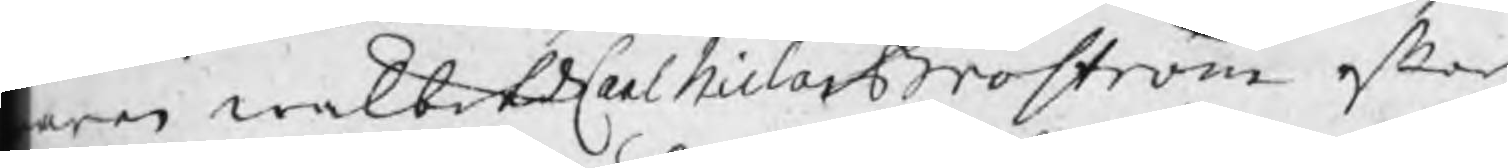aren wälbetde Carl Niclas Broström efter
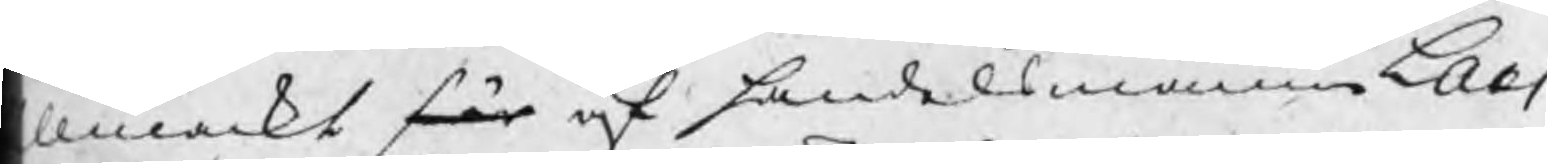llmackt för af handelsmannen Lars
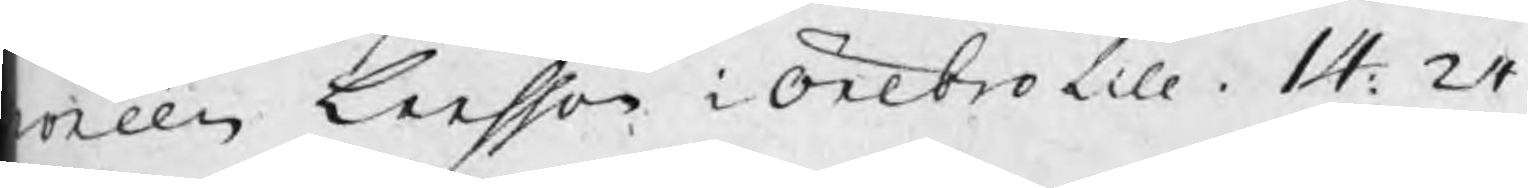oréen Larsson i Örebro till 14: 24.
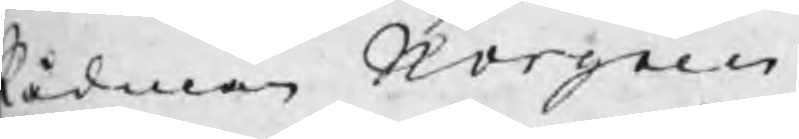Rådman Norgren
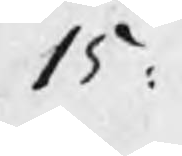15 :
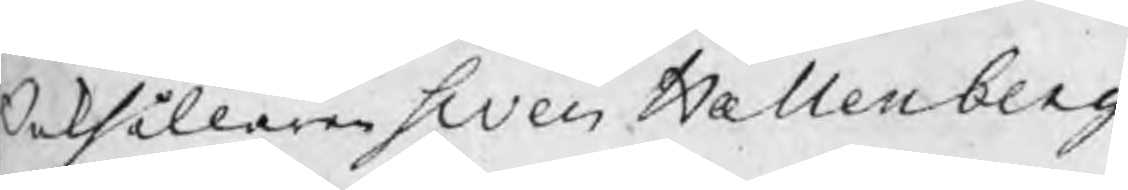Bokhållaren Swen Hællenberg
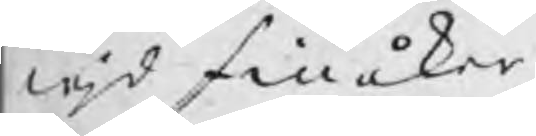wjd finåker
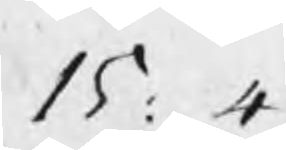15 : 4 .
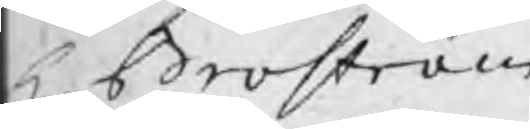Hr Broström
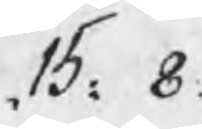15: 8.
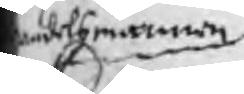ndelsmannen
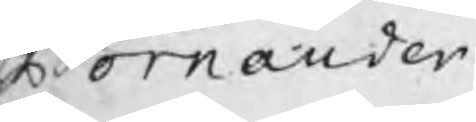Bornander
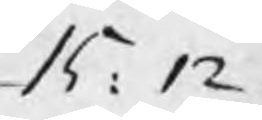15: 12.
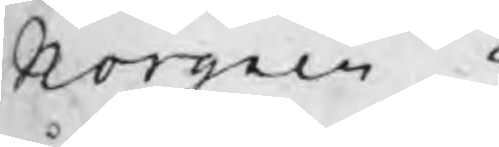Norgren
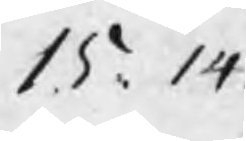15: 14.
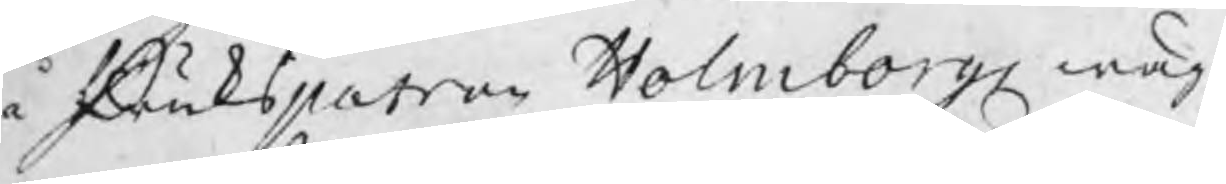å Brukspatron Holmborgs wäg¬
